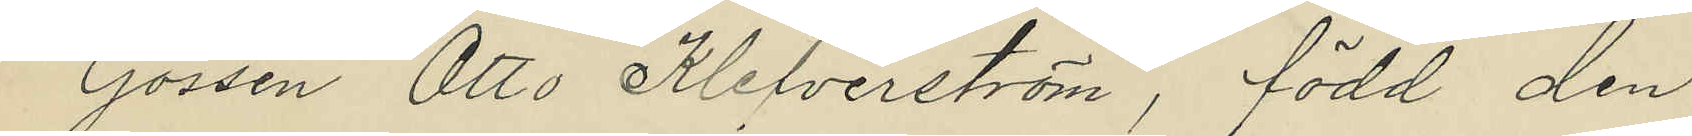Gossen Otto Klefverström, född den
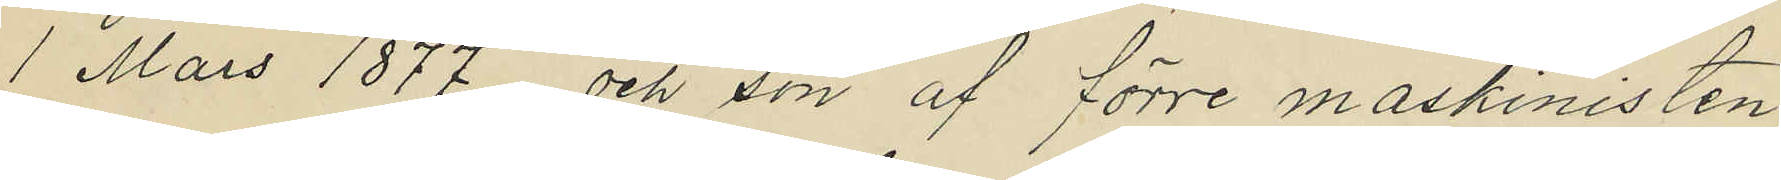1 Mars 1877 och son af förre maskinisten
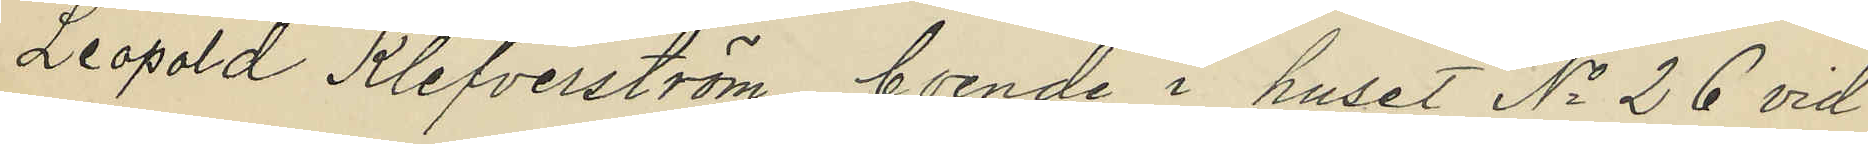Leopold Klefverström, boende i huset No 26 vid
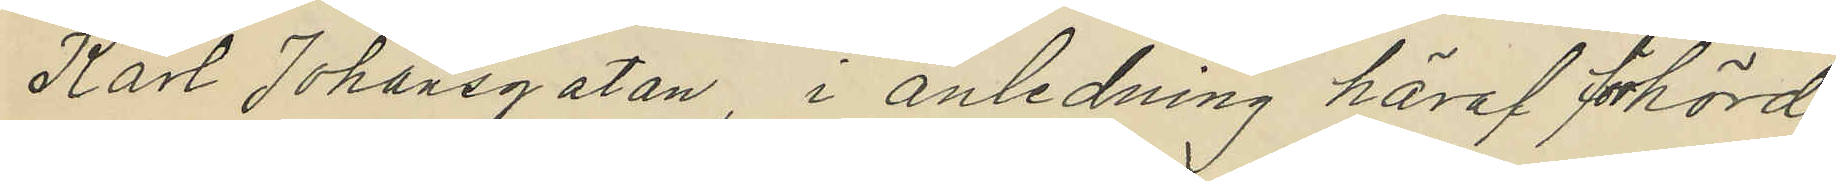Karl Johansgatan i anledning häraf förhörd,
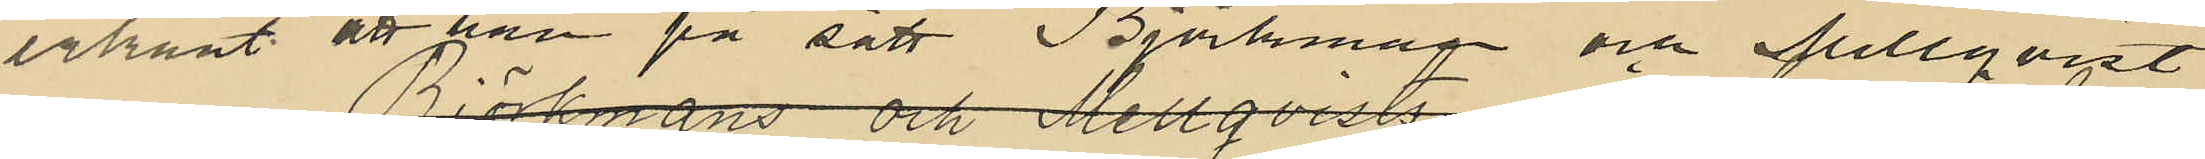erkänt att han på sätt Björkman och Mellqvist
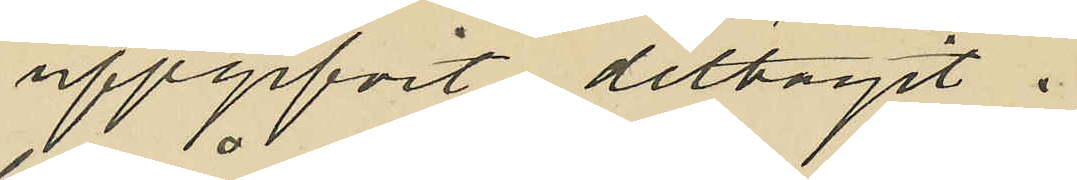uppgifvit, deltagit i
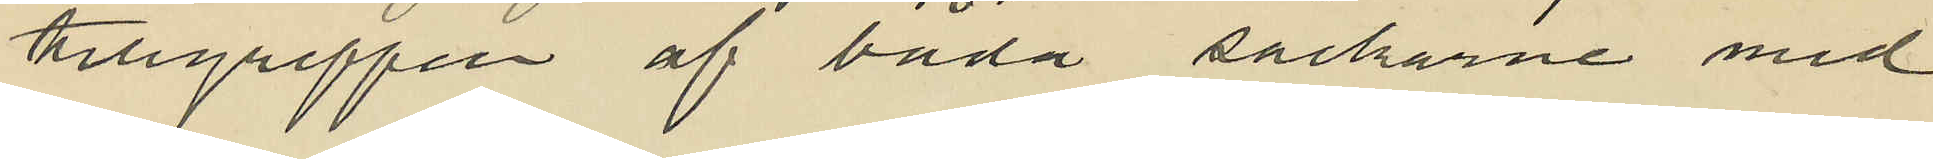tillgreppen af båda säckarne med
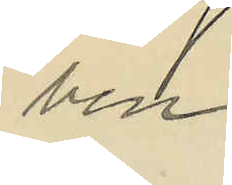ben.
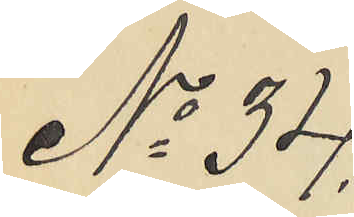No 34.
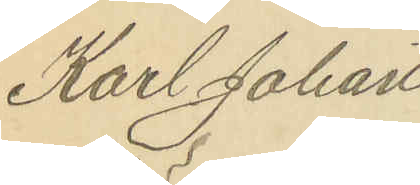Karl Johan
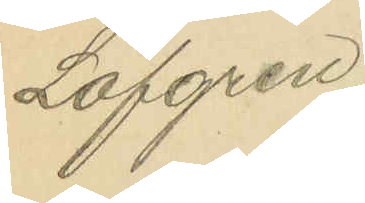Löfgren.
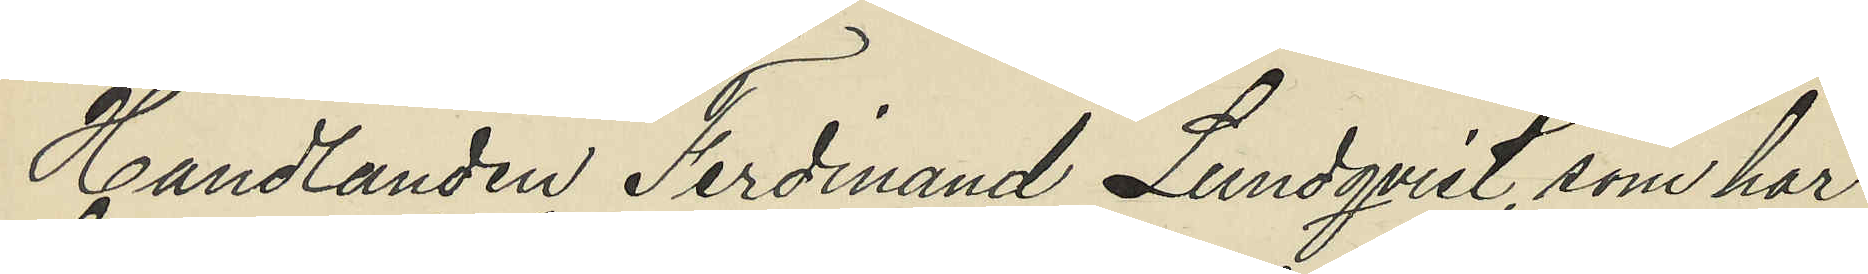Handlanden Ferdinand Lundqvist, som har
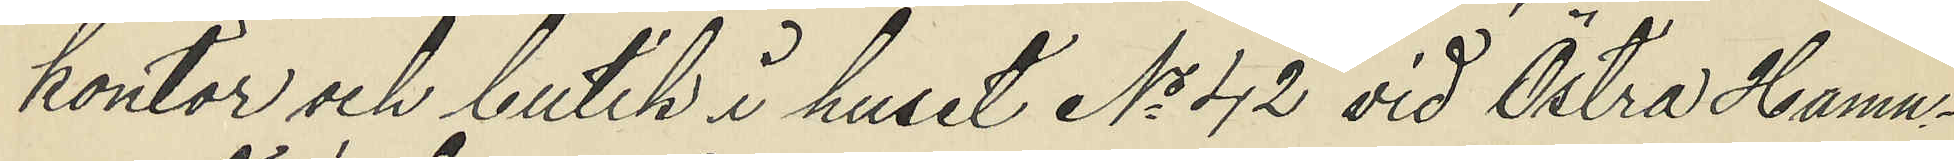kontor och butik i huset No 42 vid Östra Hamn¬
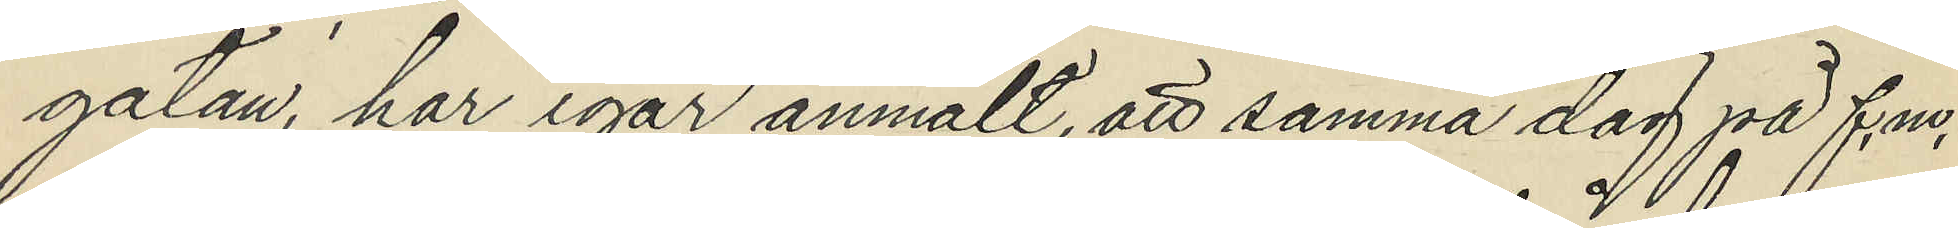gatan, har igår anmält, att samma dag på f.m.
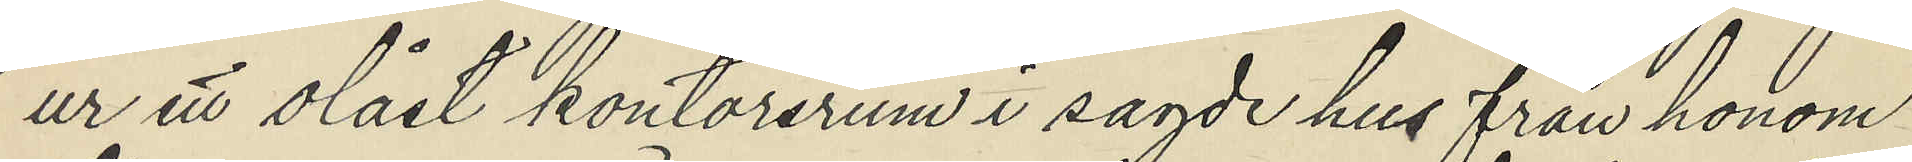ur ett olåst kontorsrum i sagde hus från honom
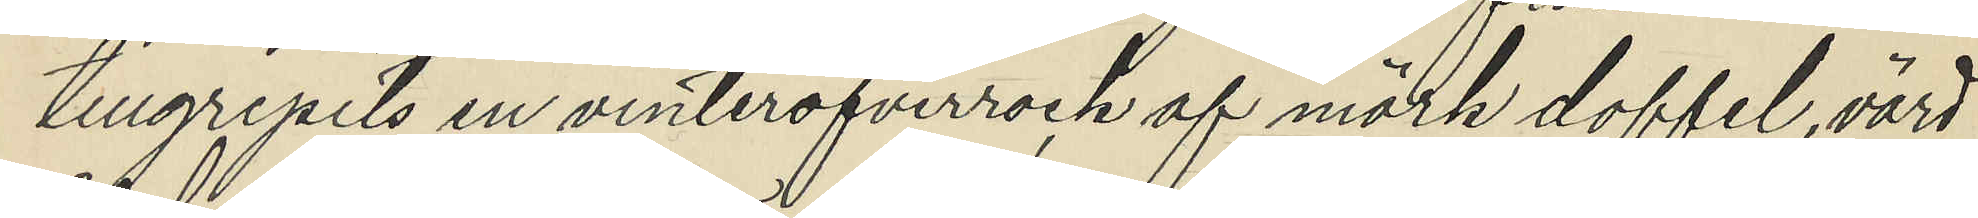tillgripits en vinteröfverrock af mörk doffel, värd
